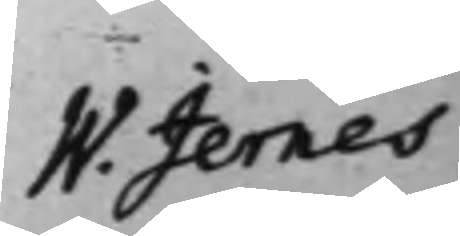W. Jernes
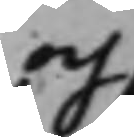och
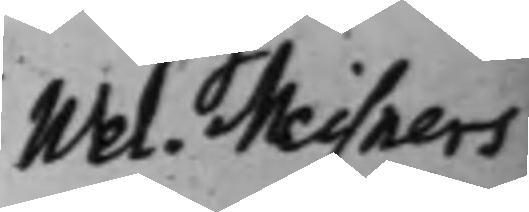Wel. Meisners
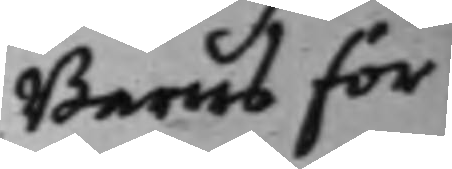Barns för¬
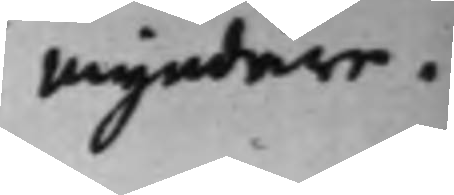myndare.
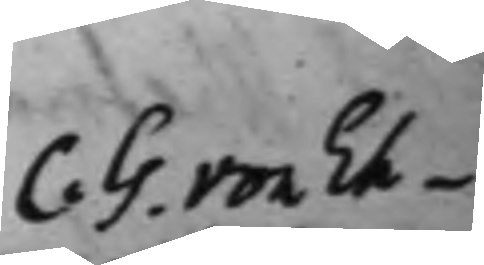C. G. von Eh¬
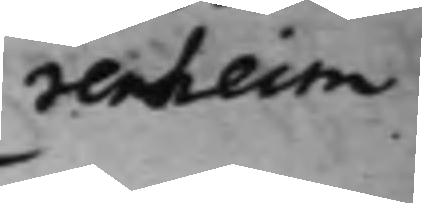renheim
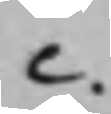C.
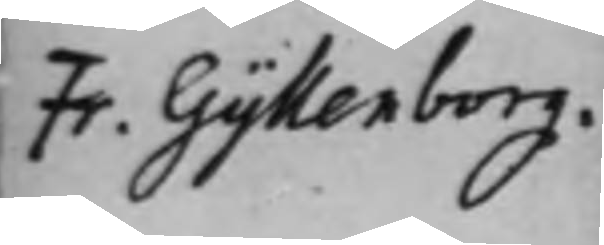Fr. Gyllenborg.
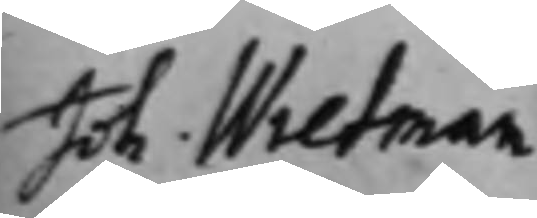Joh. Wretman
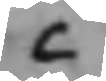C.
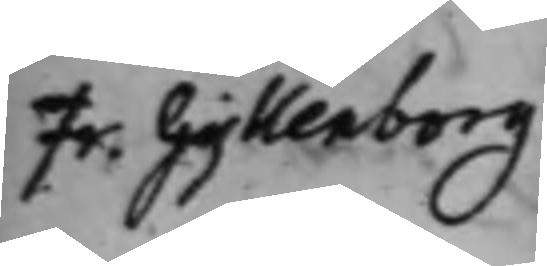Fr. Gyllenborg
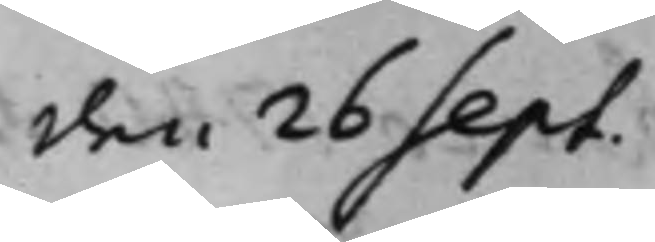den 26 Sept.
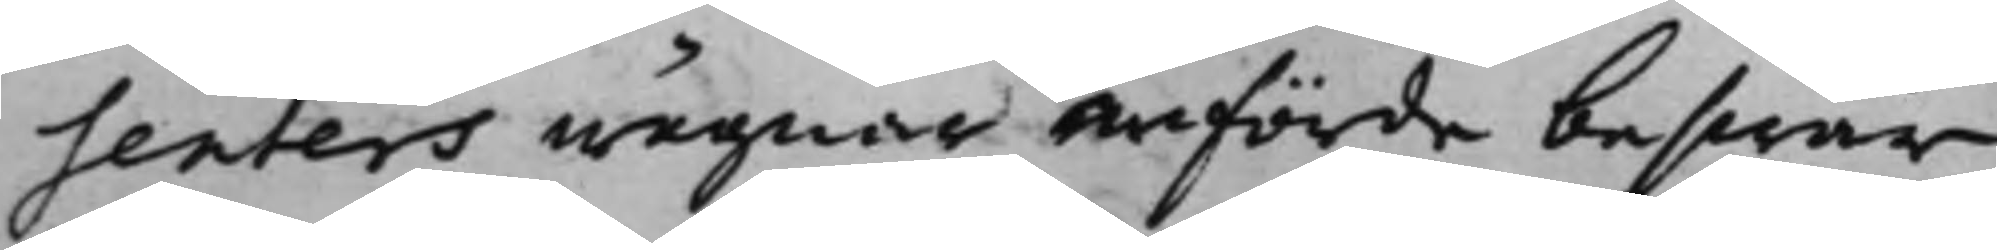senters wägnar anförde beswär
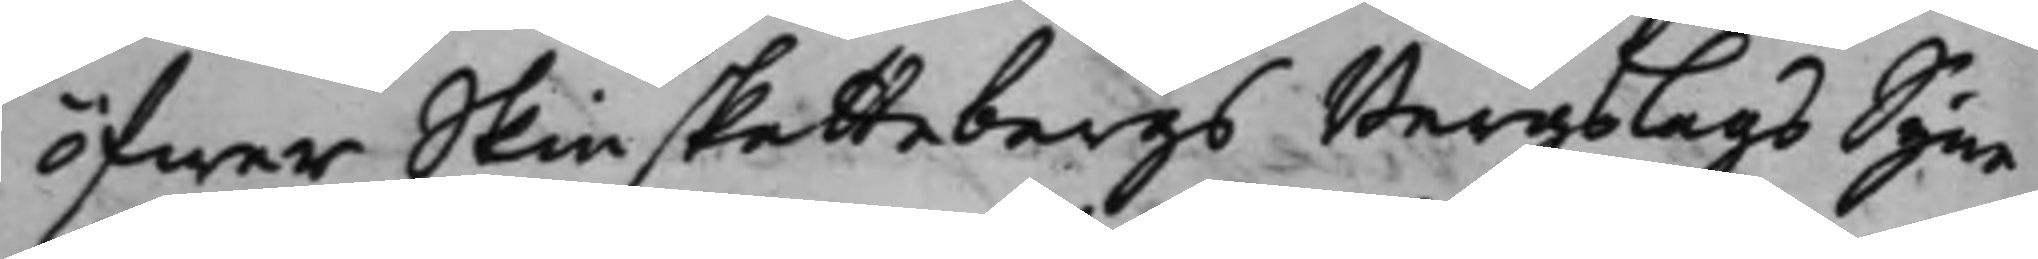öfwer Skinskattebergs Bergslags Syne¬
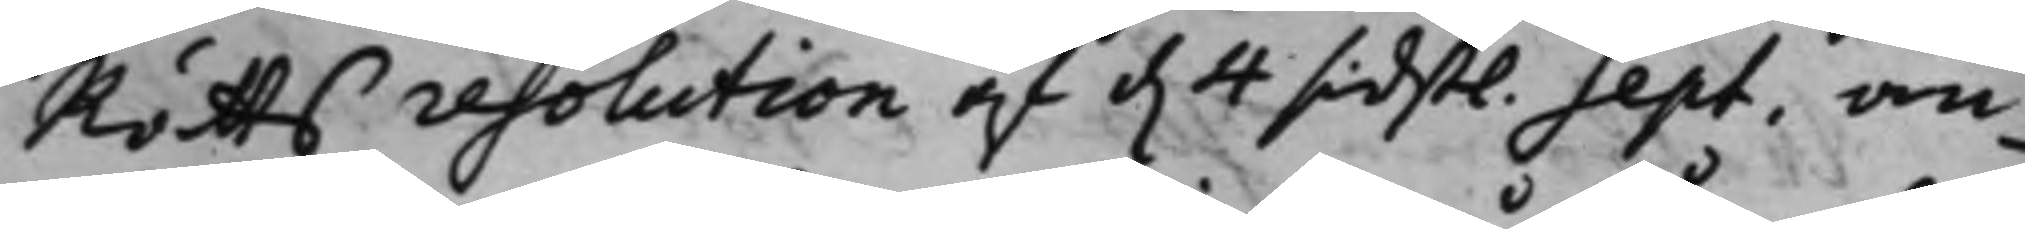Rätts resolution af d. 4 sidstl. Sept. an¬
